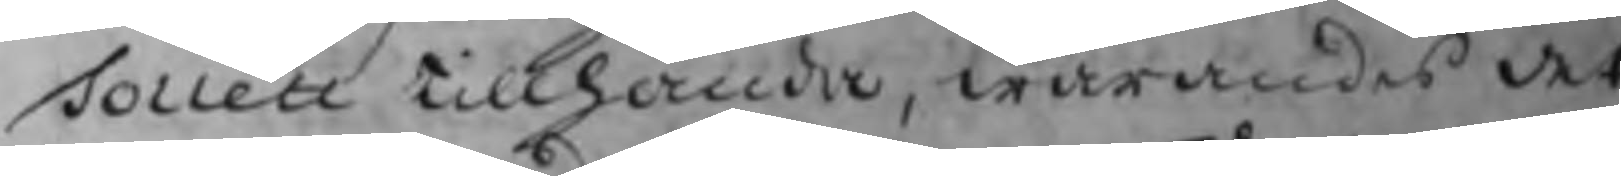Tollett tillhanda, warandes det
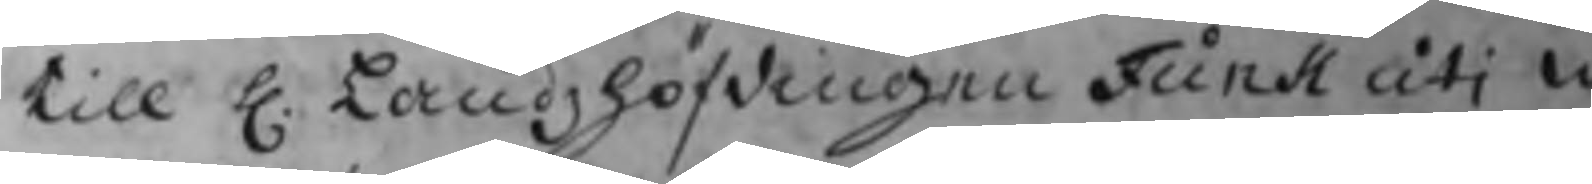till H. Landzhöfdingen Funk uti
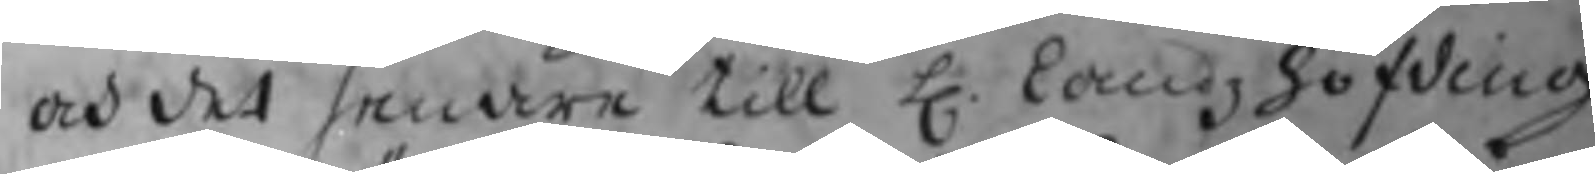och det senare till H. landzhöfding
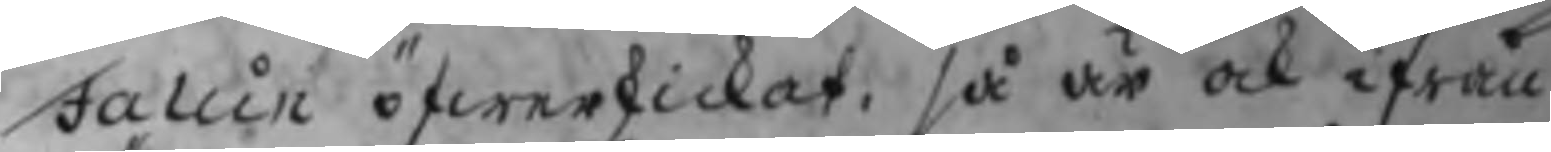Falun öfwerskickat, så är ock ifrån
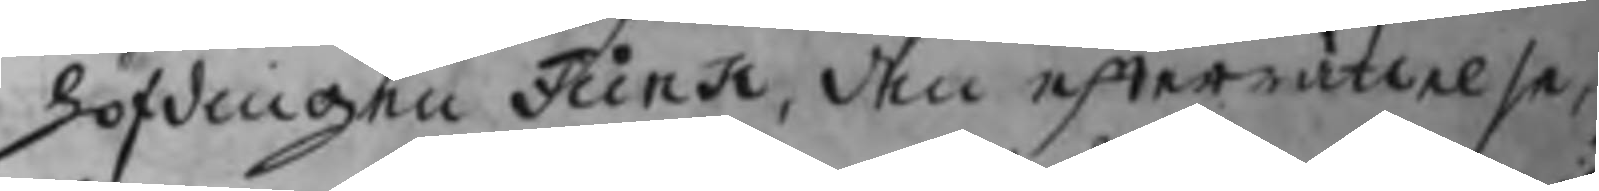höfdingen Funk, den efterrättelse,
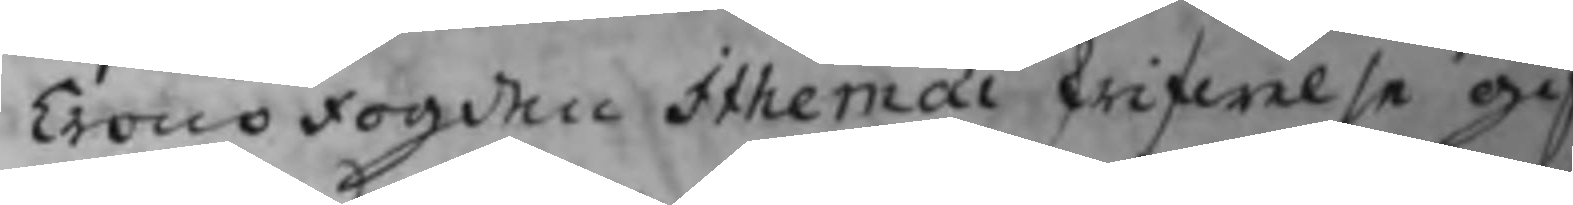Crono Fogden Ithernai skrifwelse gif
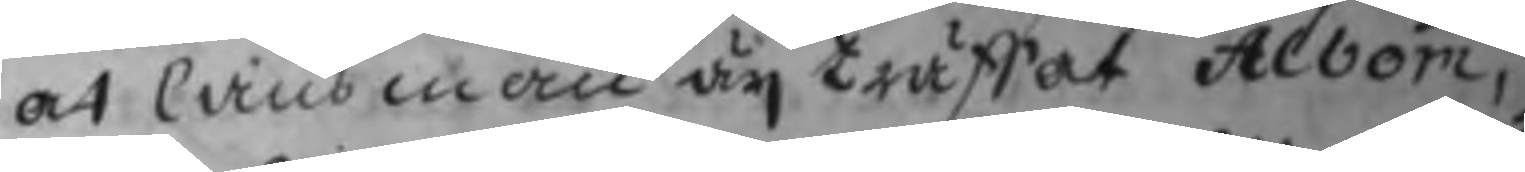at länsman äij träffat Albom,
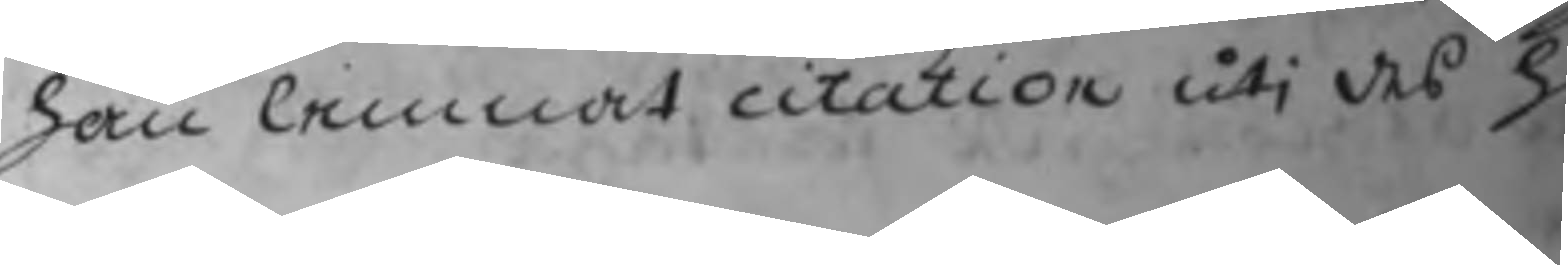han lemnat citation uti des h
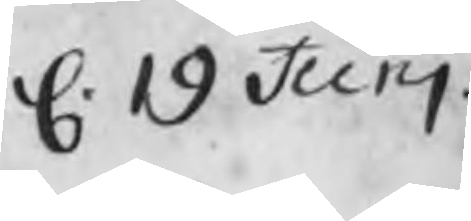d. 19 Junj
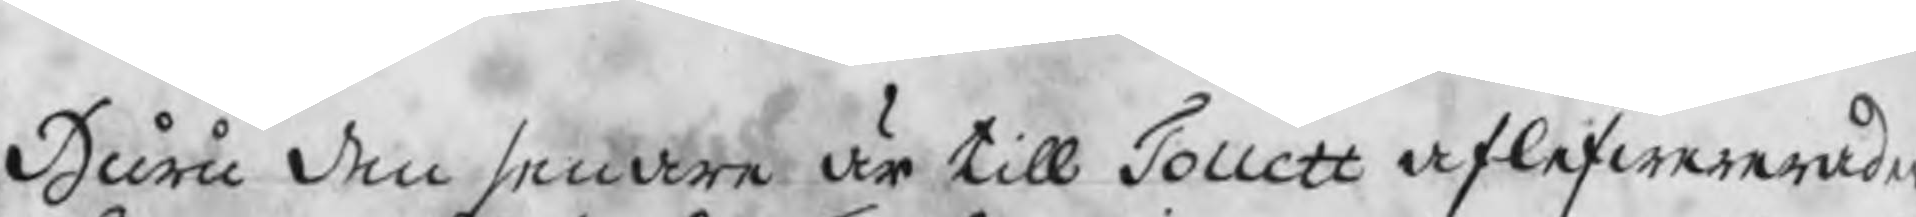Huru den senare är till Tollett aflefwererade
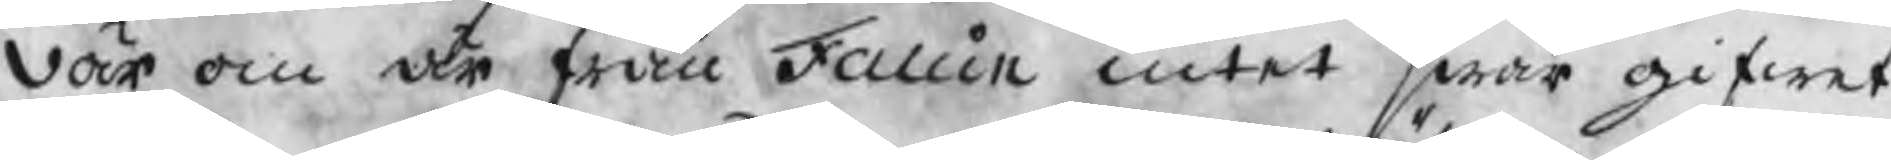där om är från Fallin intet swar gifwet.
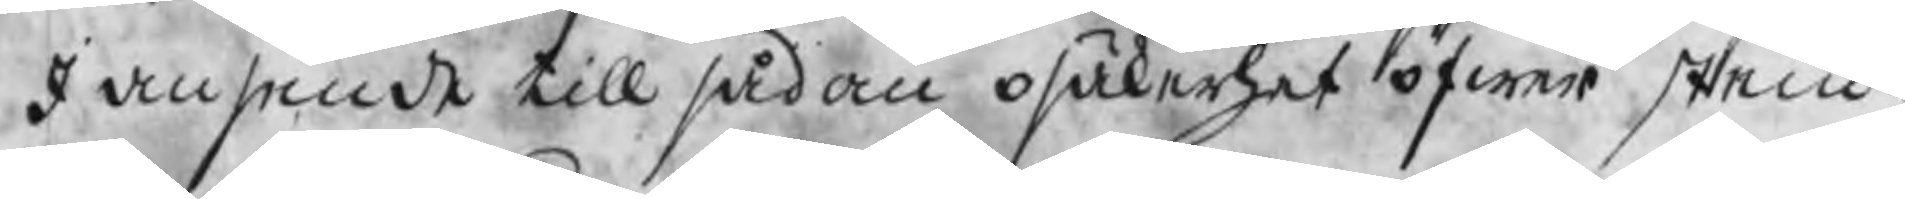I anseende till sådan osäkerhet öfwer stem¬
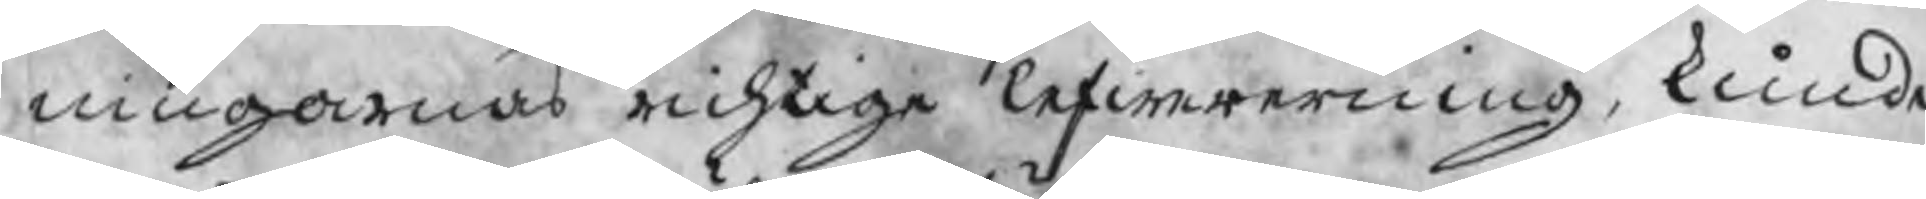ningarnas richtige lefwererning, kunde
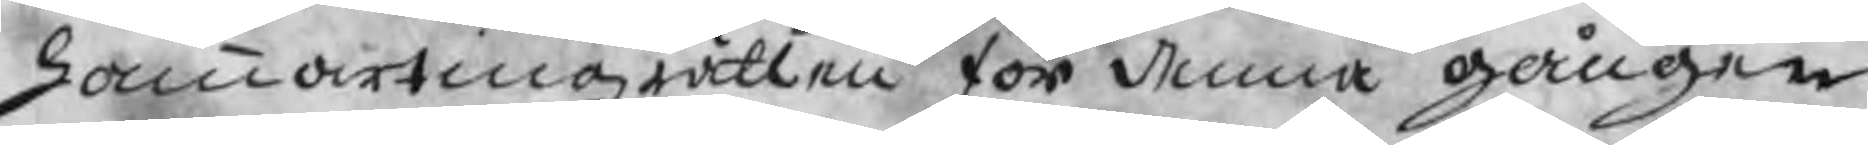hammartingzrätten för denna gången
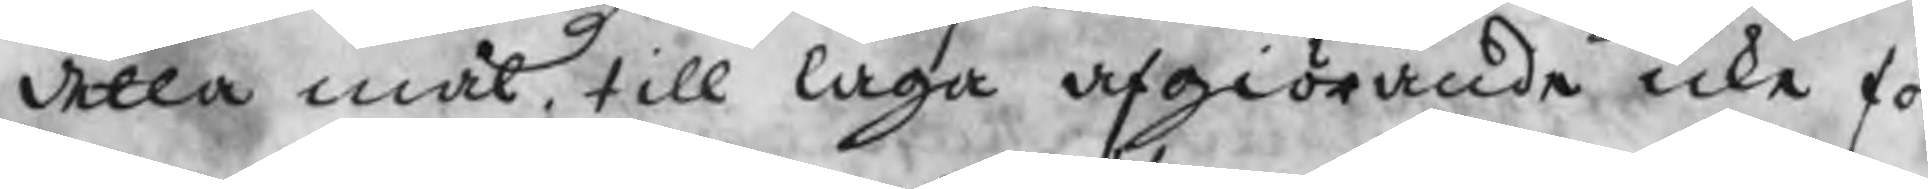detta mål, till laga afgiörande icke för
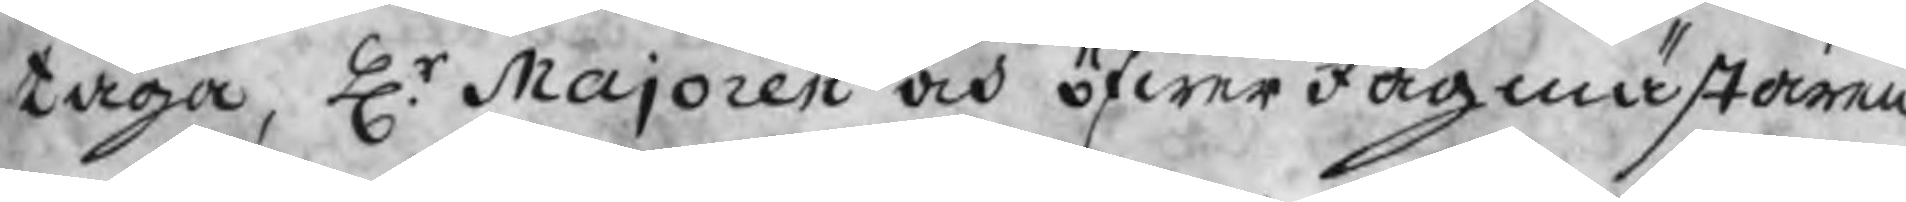taga, Hr. Majoren och öfwerJagmästaren
